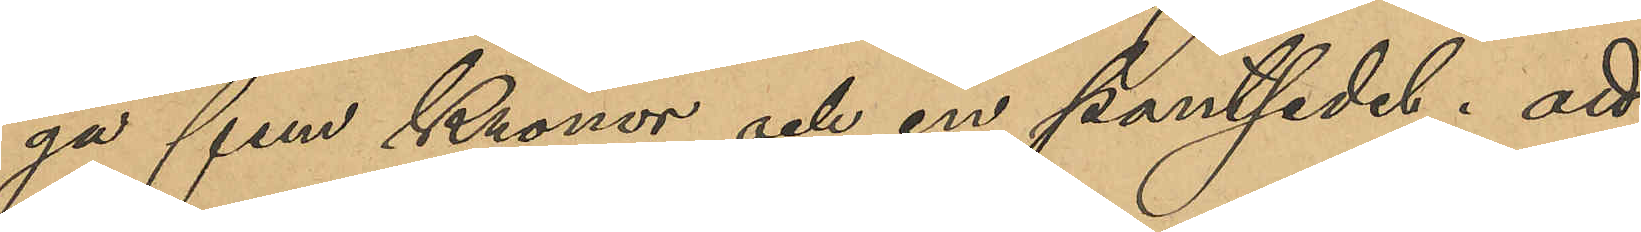ga fem kronor och en pantsedel; att
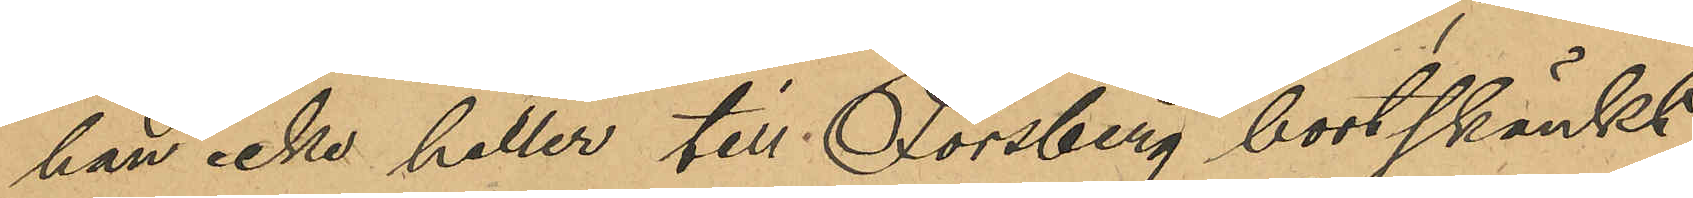han icke heller till Forsberg bortskänkt
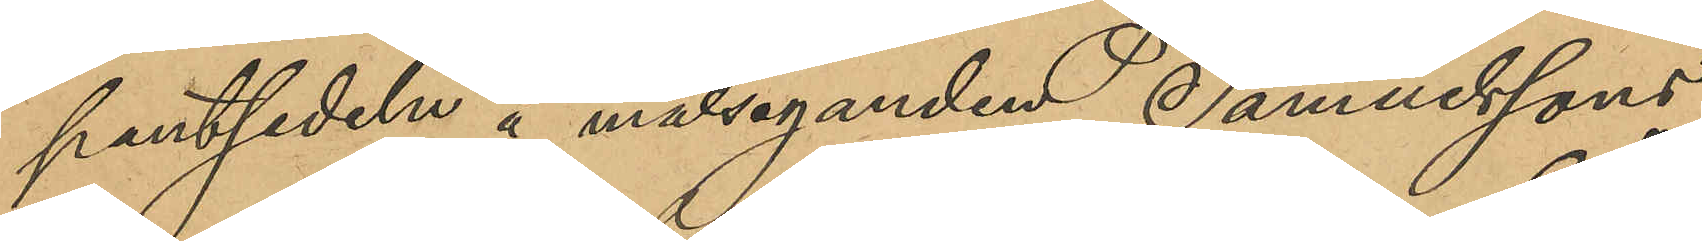pantsedeln å målseganden Samuelssons
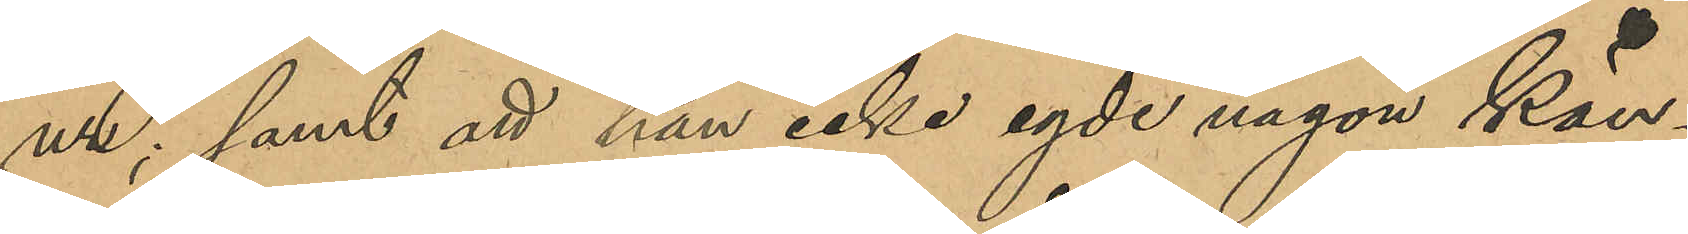ur; samt att han icke egde någon Kän¬
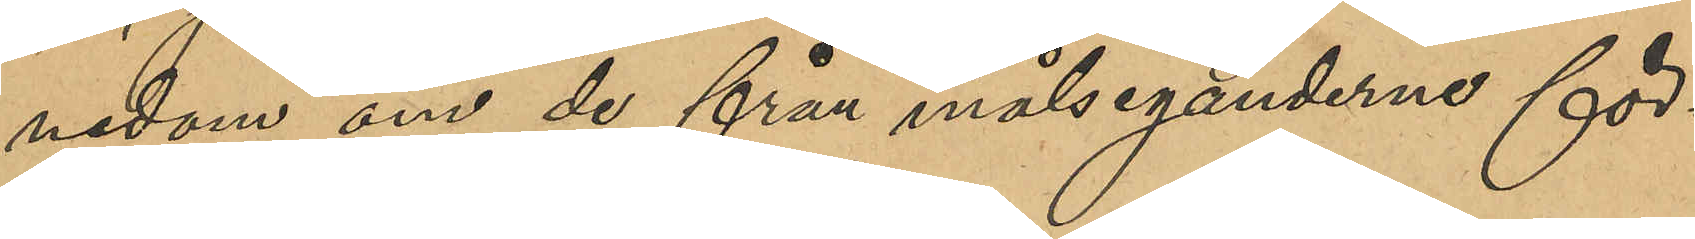nedom om de från målseganderne för¬
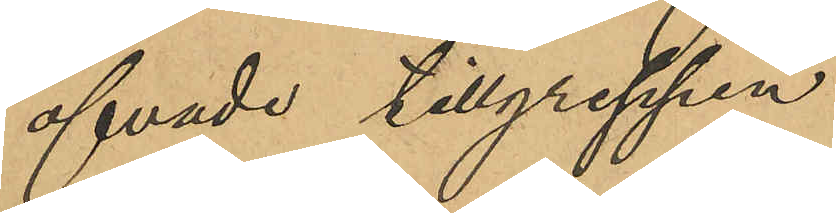öfvade tillgreppen.
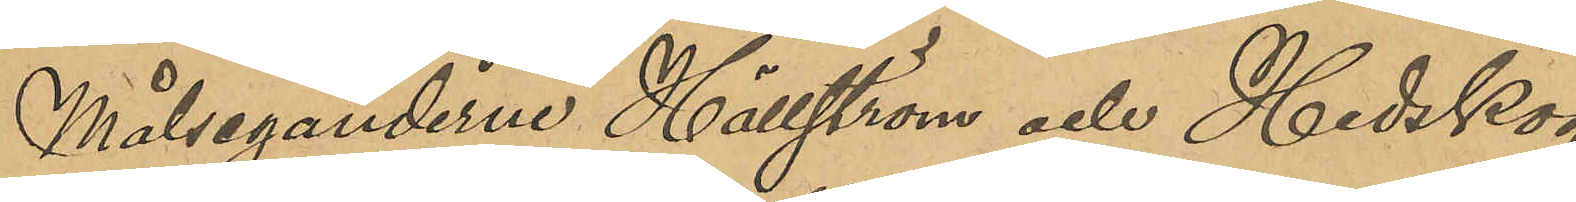Målseganderne Hällström och Hedskog
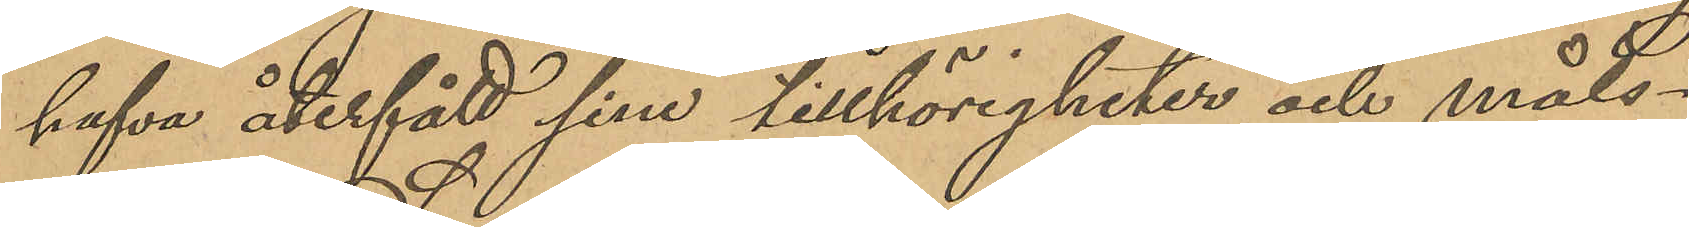hafva återfått sina tillhörigheter och måls¬
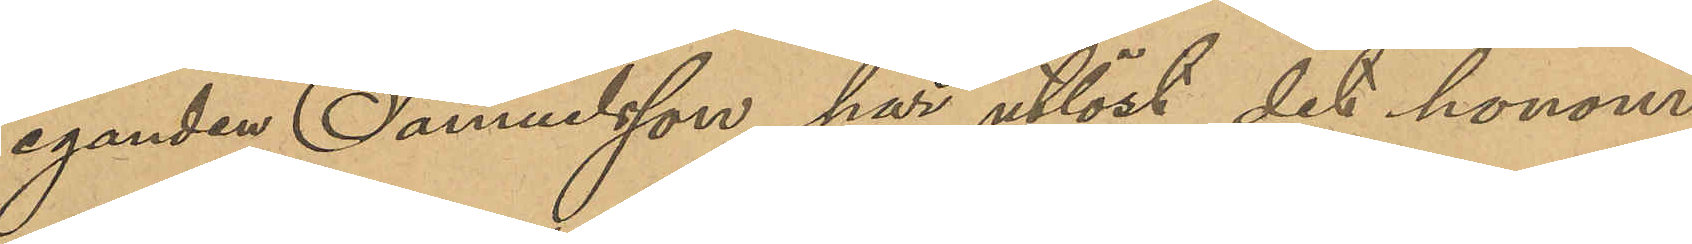eganden Samuelsson har utlöst det honom
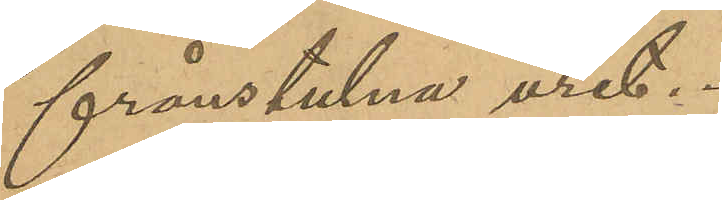frånstulne uret.
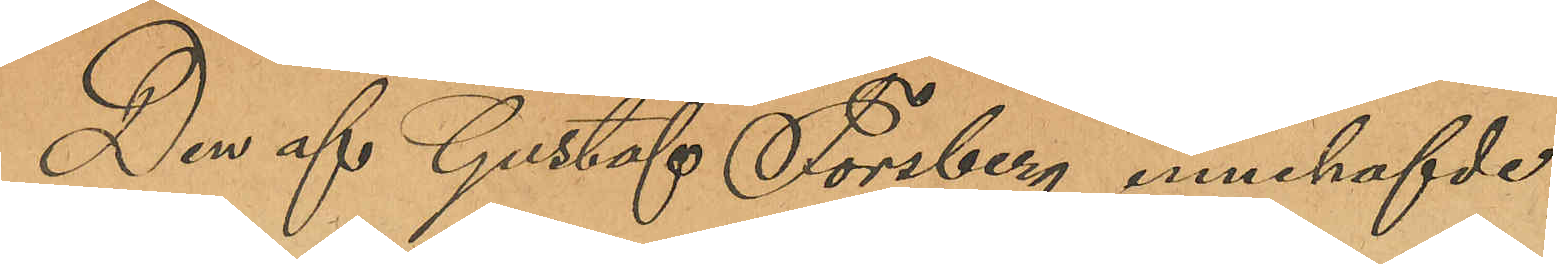Den af Gustaf Forsberg innehfavde
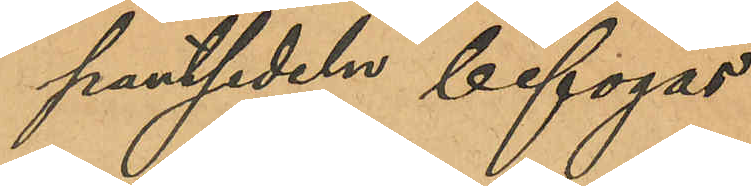pantsedeln bifogas.
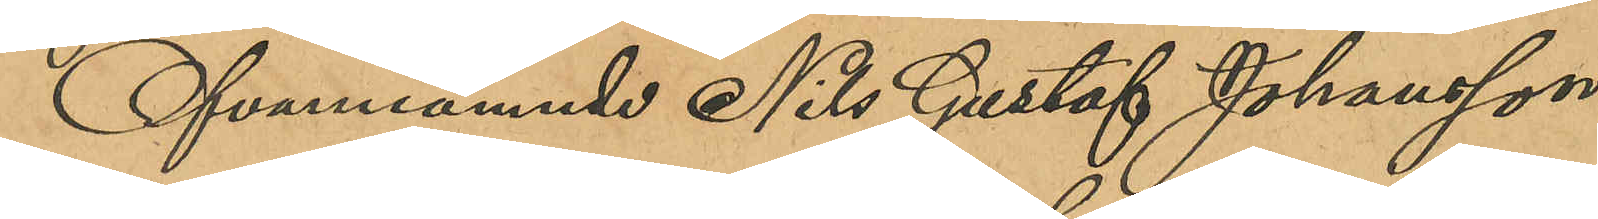Ofvannämnde Nils Gustaf Johansson
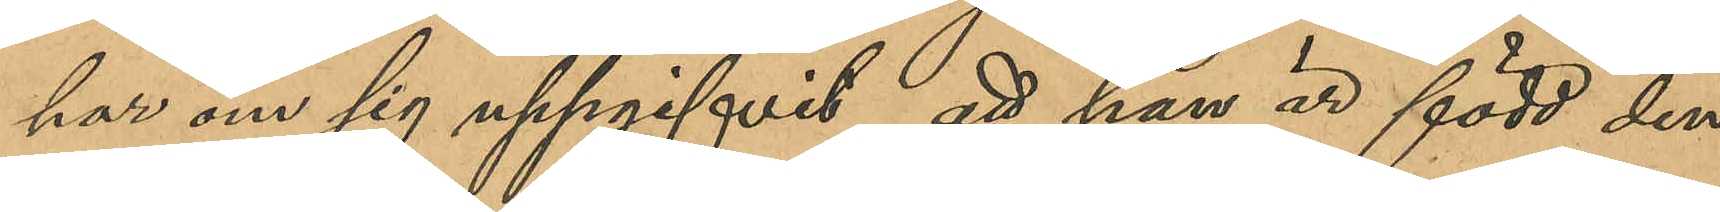har om sig uppgifvit; att han är född den
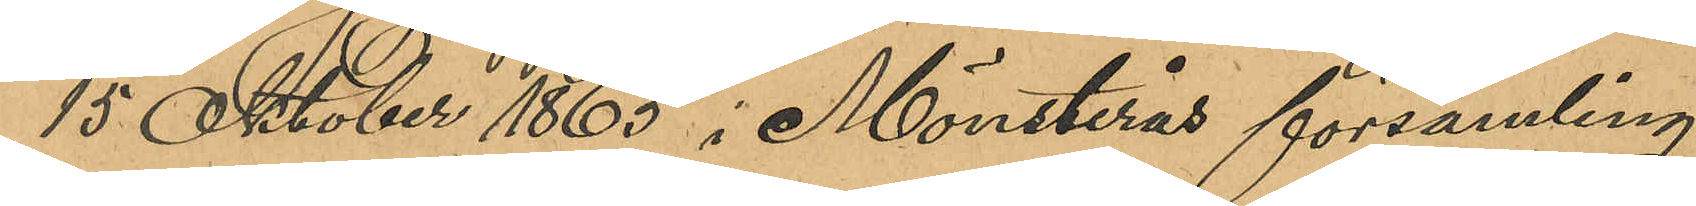15 Oktober 1865 i Mönsterås församling,
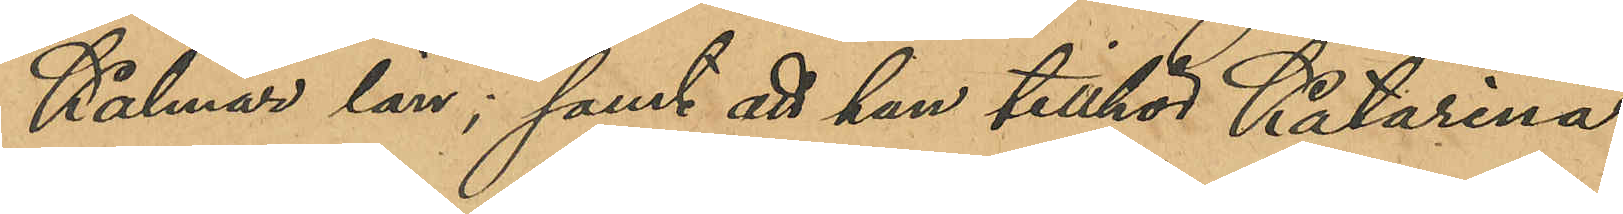Kalmar län; samt att han tillhör Katarina
